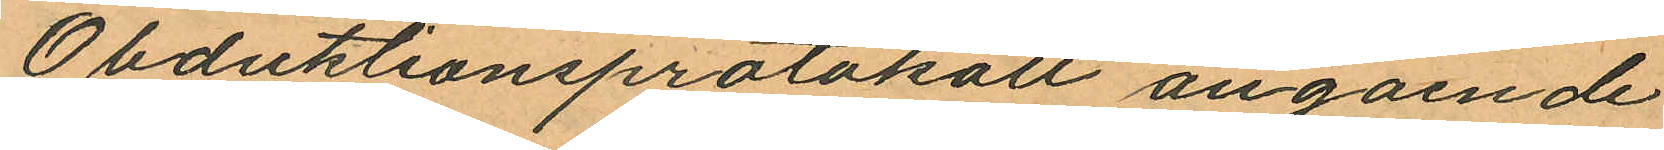Obduktionsprotokoll angående
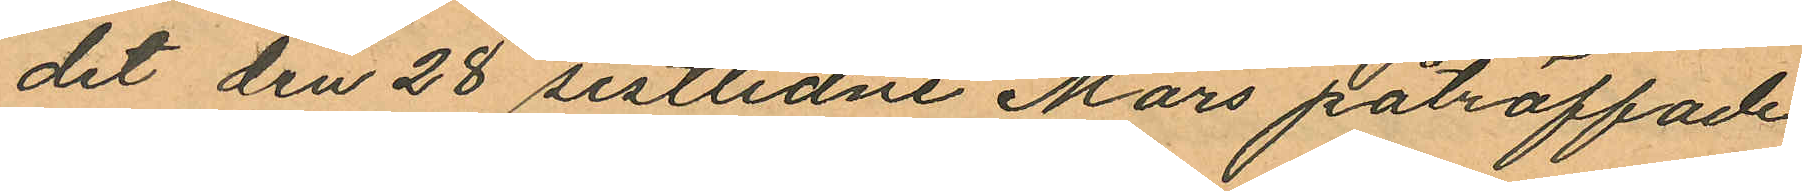det den 28 sistlidne Mars påträffade
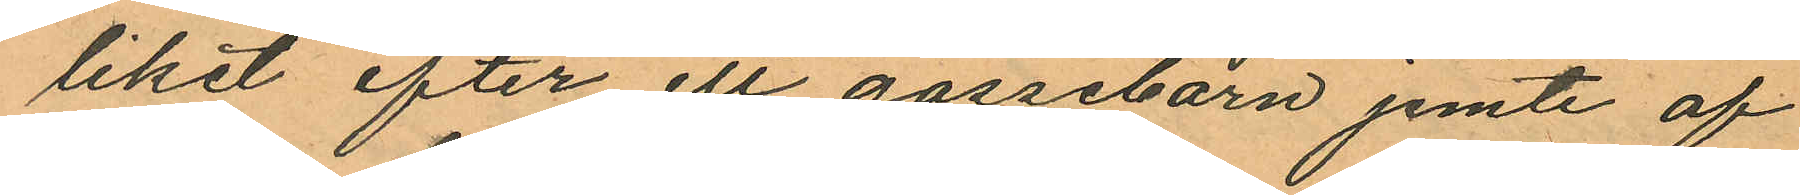liket efter ett gossebarn jemte af
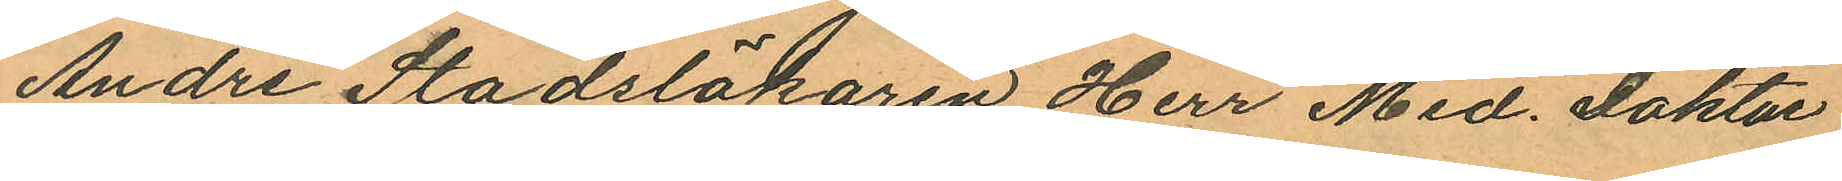Andre Stadsläkaren Herr Med. Doktor
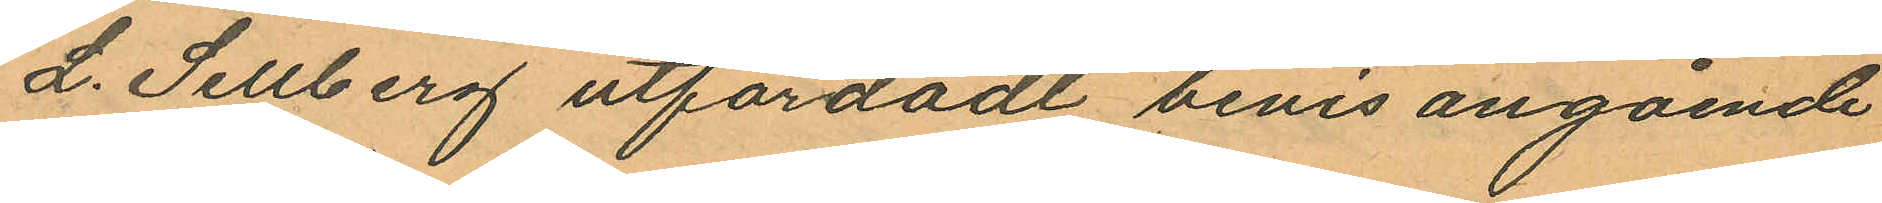L. Sellberg utfärdadt bevis angående
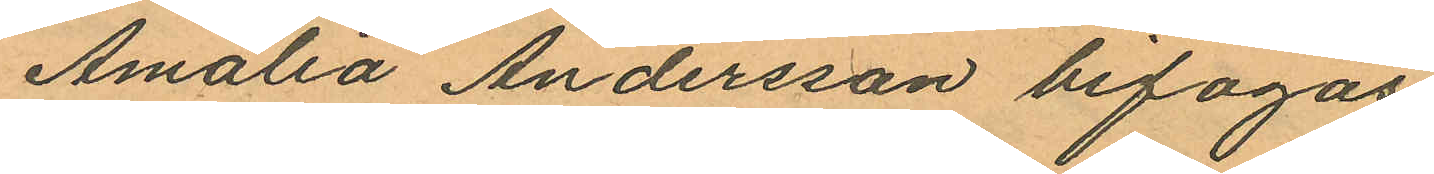Amalia Andersson bifogas.
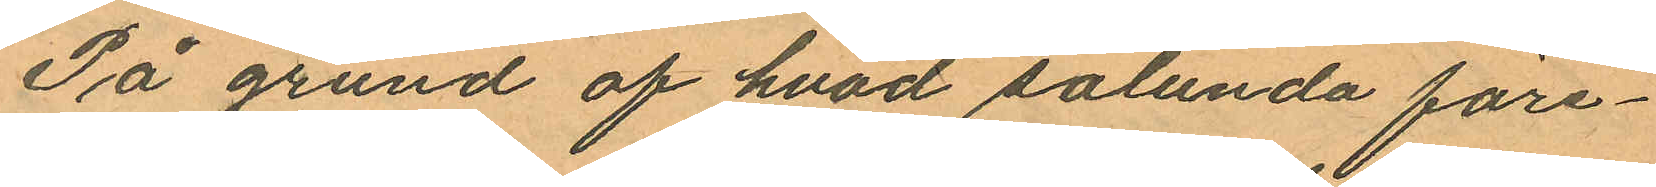På grund af hvad sålunda före¬
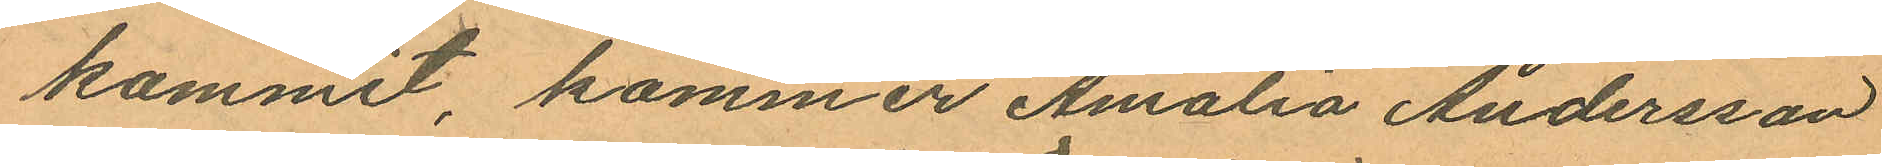kommit, kommer Amalia Andersson
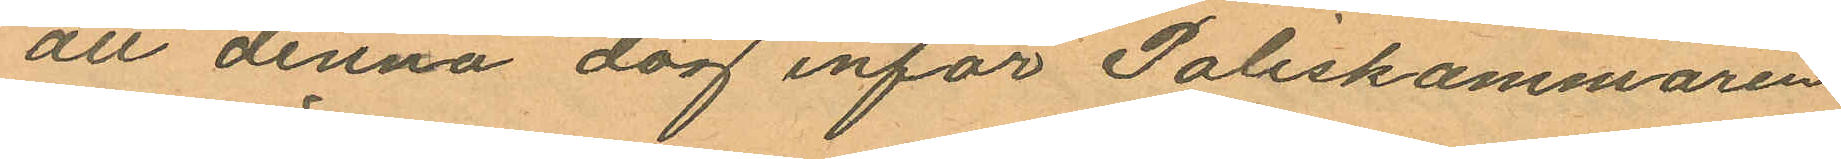att denna dag inför Poliskammaren
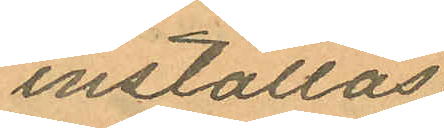inställas.
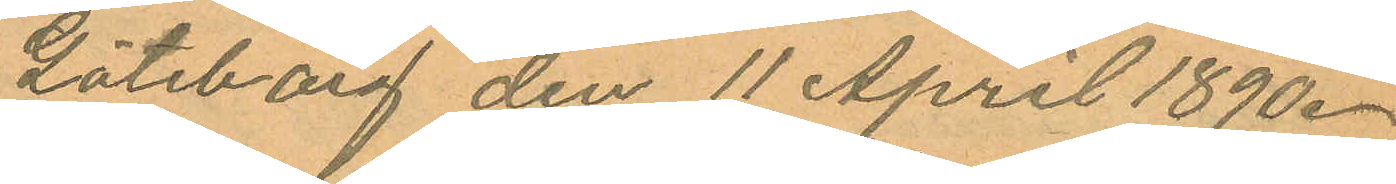Göteborg den 11 April 1890.
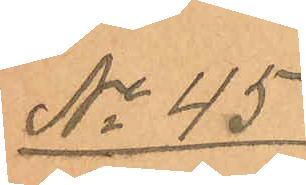No 45
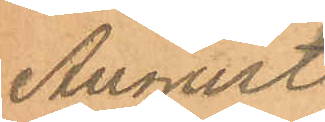August
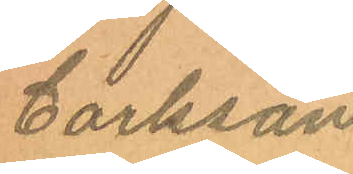Carlsson.
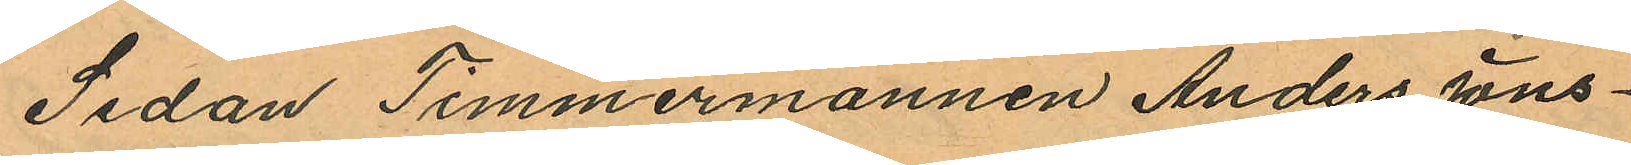Sedan Timmermannen Anders Jons¬
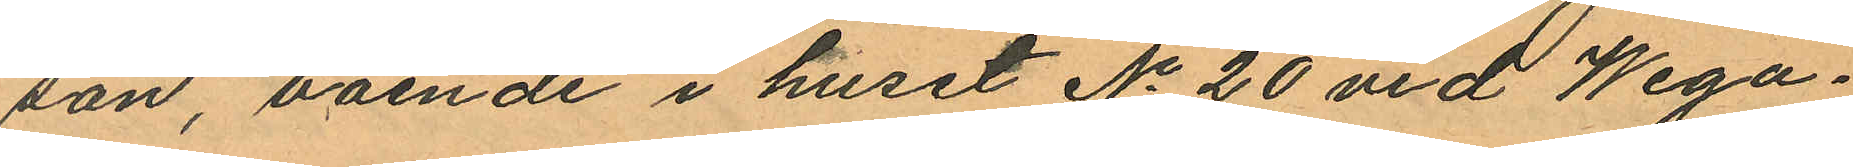son, boende i huset No 20 vid Wega¬
